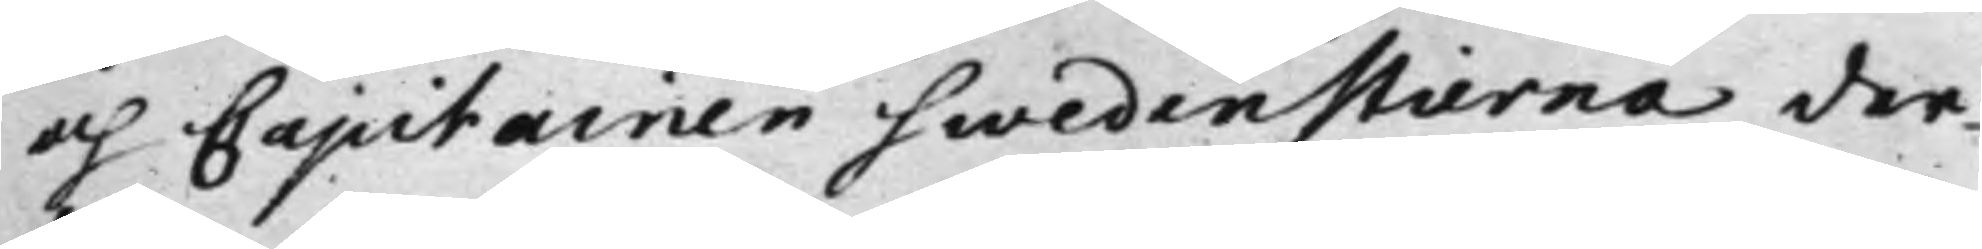och Capitainen Swedenstierna der¬
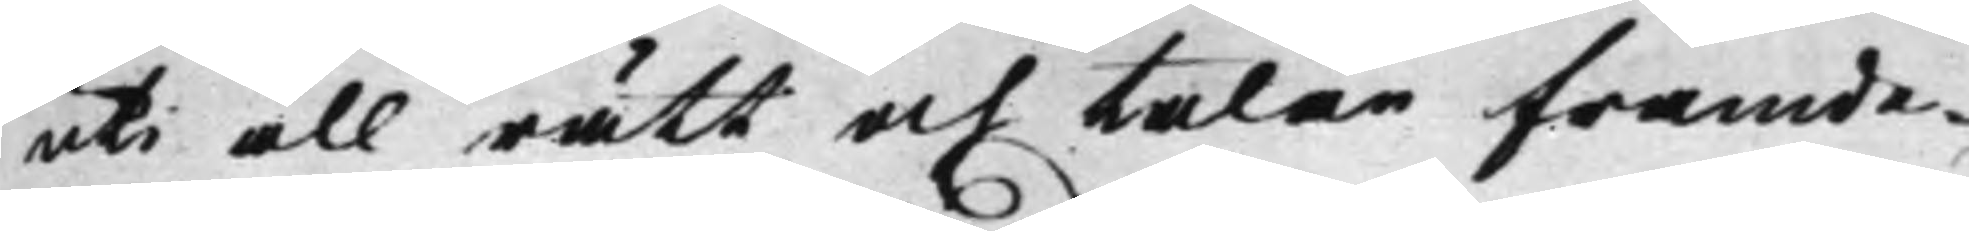uti all rätt och talan framde¬
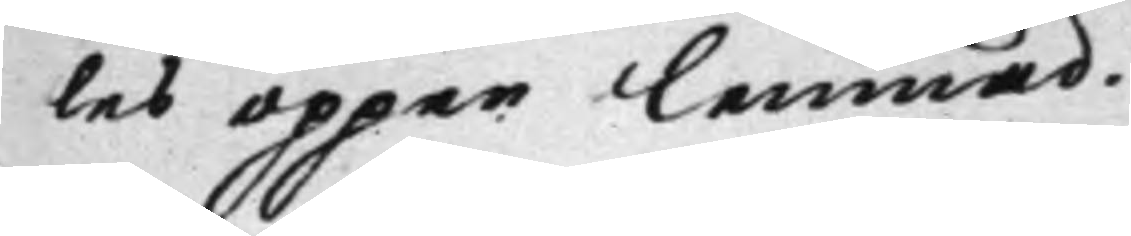les öppen lemnad.
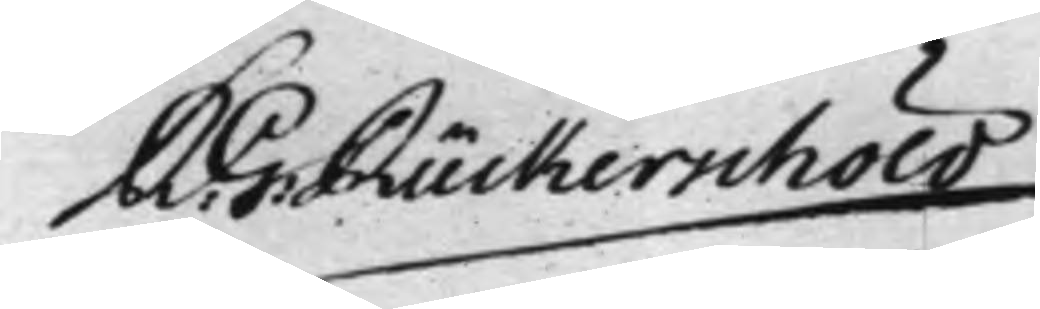R: G: Rückerschöld
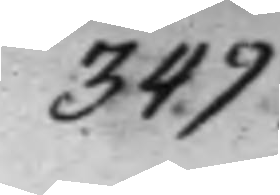349.
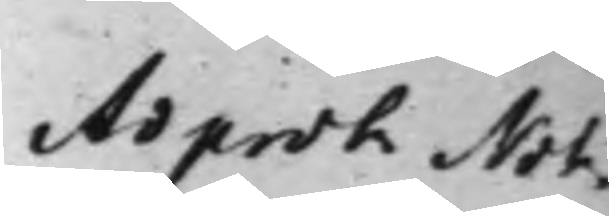Ad prot Not.
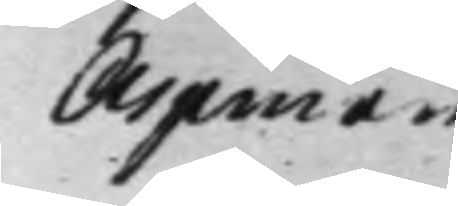Aspman
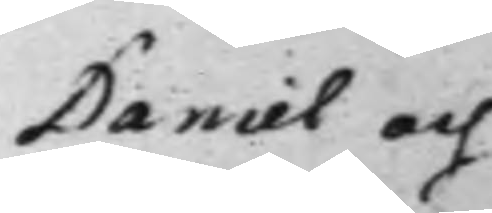Daniel och
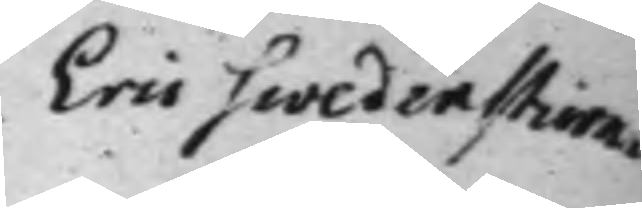Eric Swedenstierna
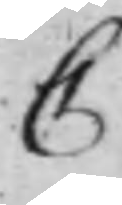C
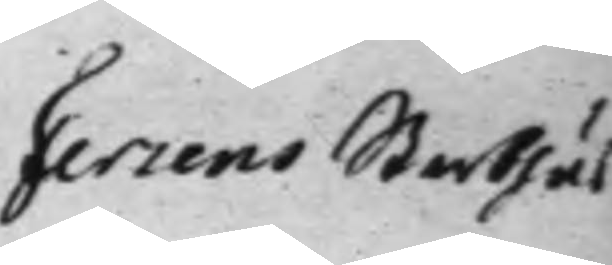Fersens Sterbhus
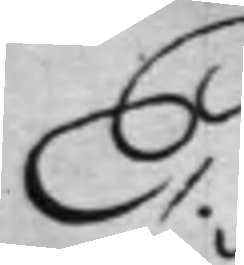E.
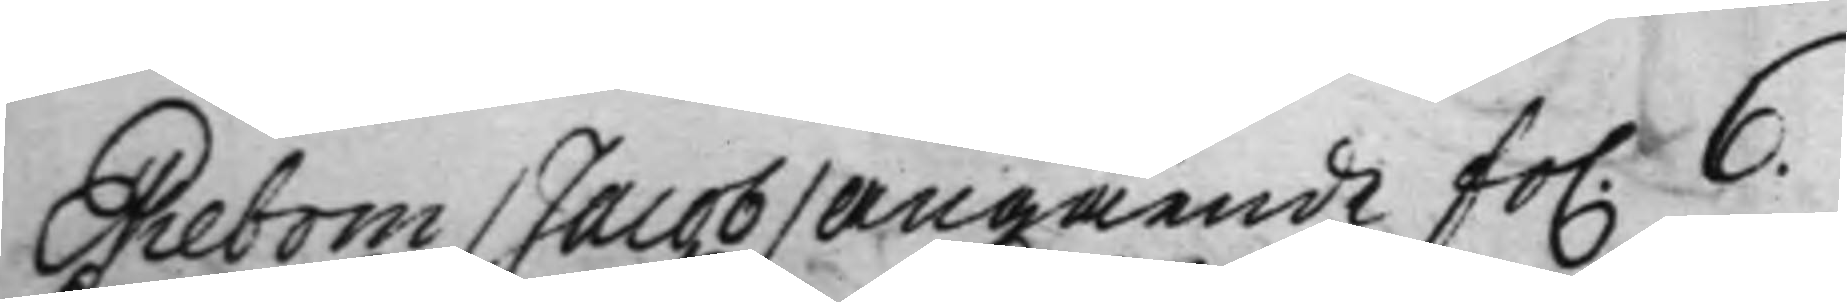Ekebom / Jacob / angående fo. 6.
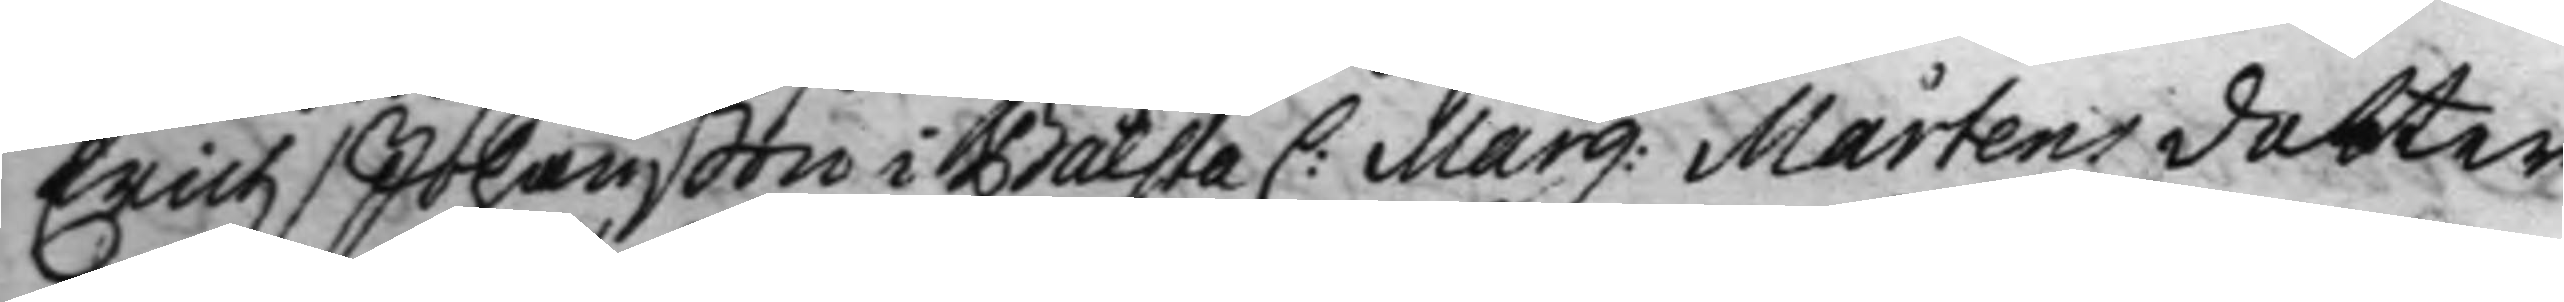Erich / Johanßon i Bålsta C: Marg: Mårtensdotter
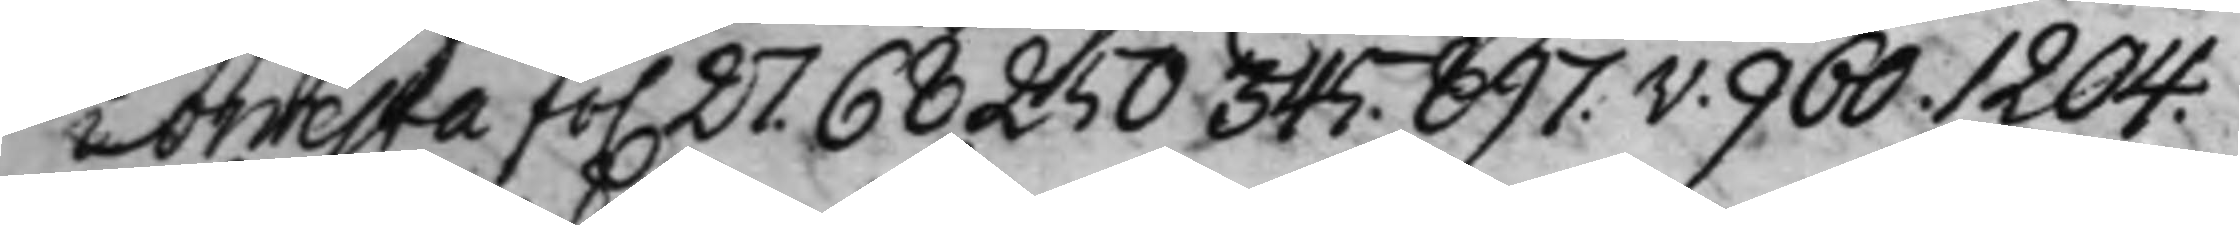i Orresta fo. 27. 68 250 345. 897.v. 960. 1204.
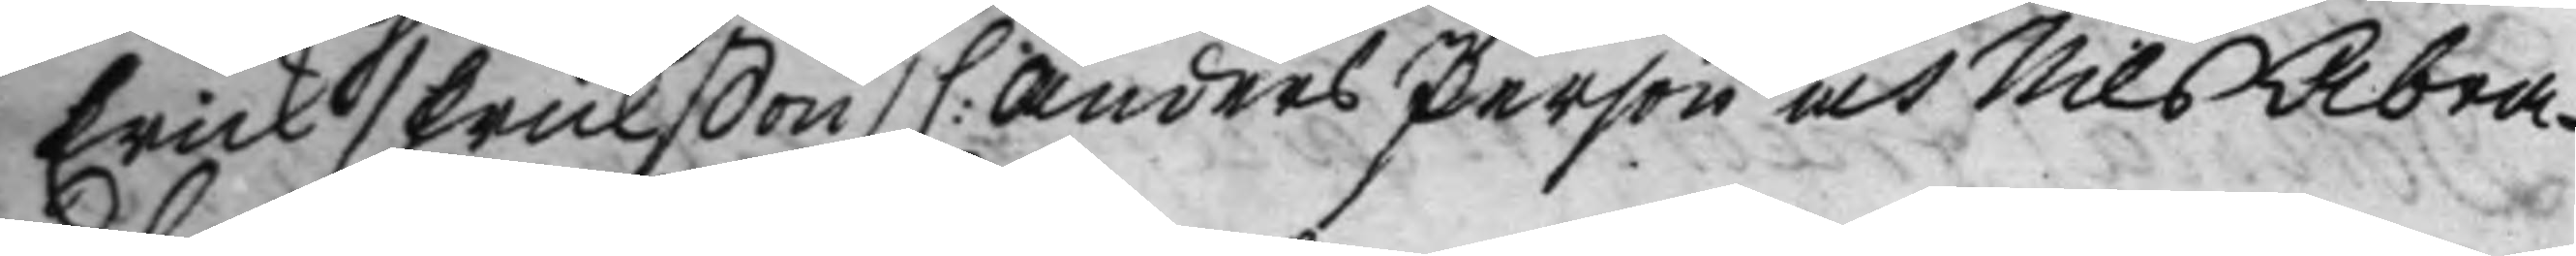Erick / Erickßon / C: Anders Person och Nils Abra¬
